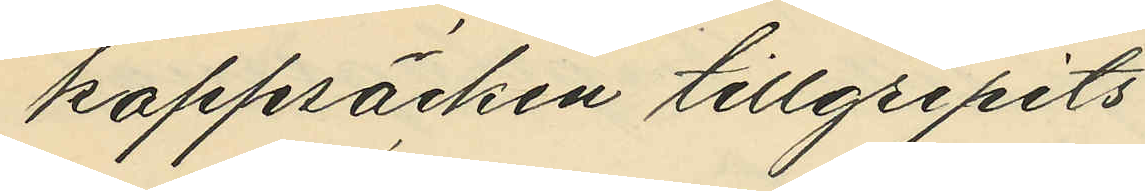kappsäcken tillgripits
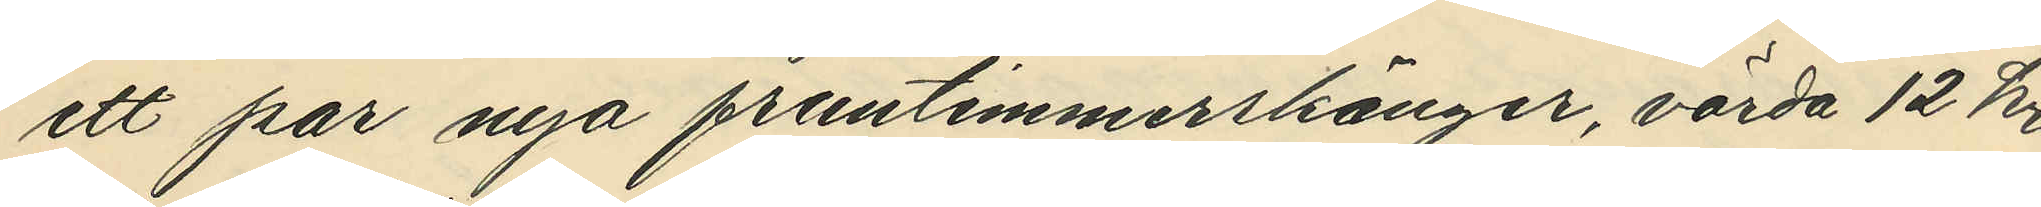ett par nya fruntimmerskänger, värda 12 kr
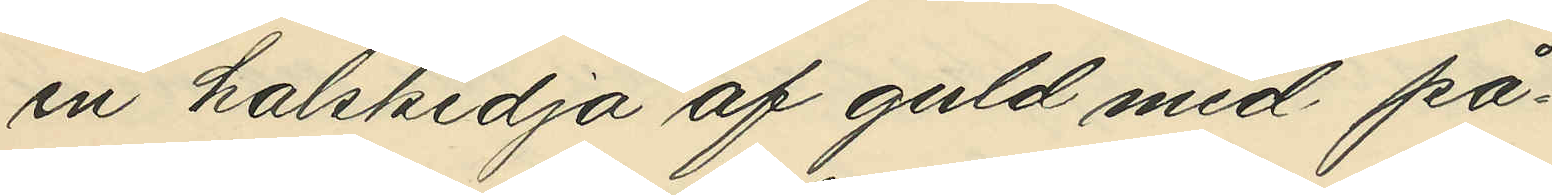en halskedja af guld med på¬
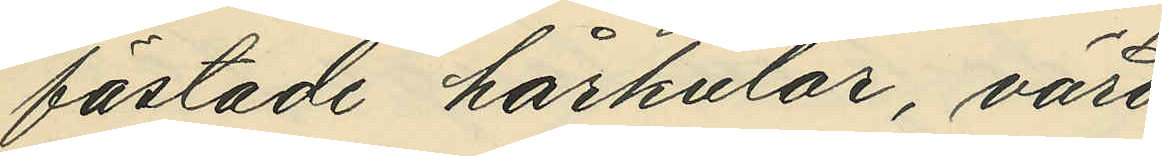fästade hårkulor, värd
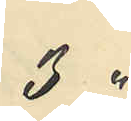3 "
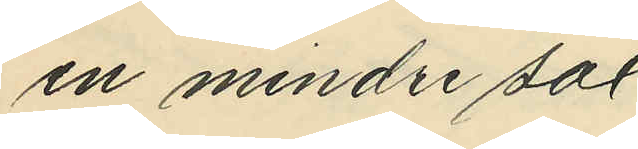en mindre sax,
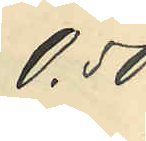0,50
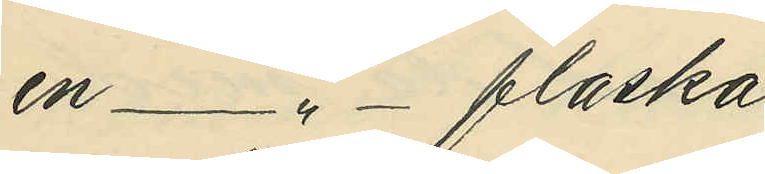en -"- flaska,
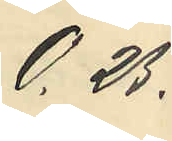0,25
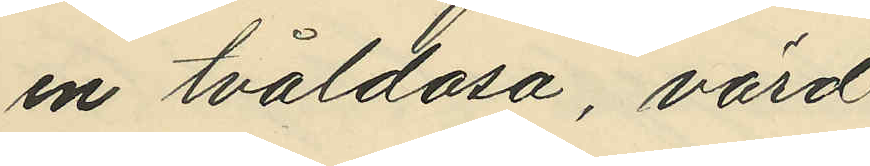en tvåldosa, värd
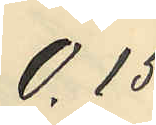0,15
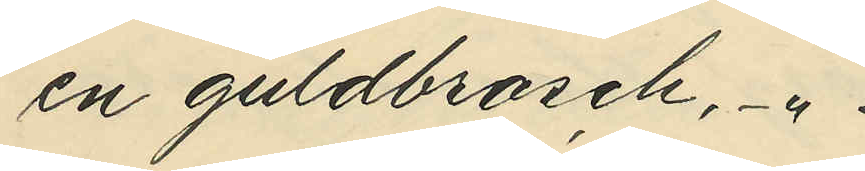en guldbrosch -"
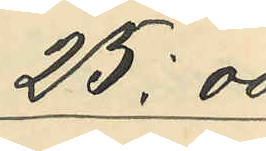25,00
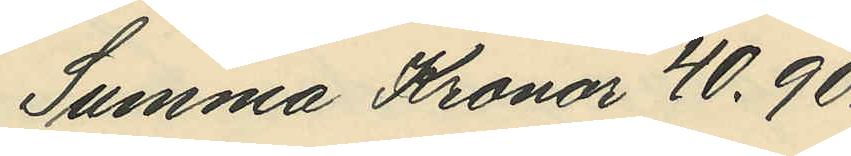Summa Kronor 40,90
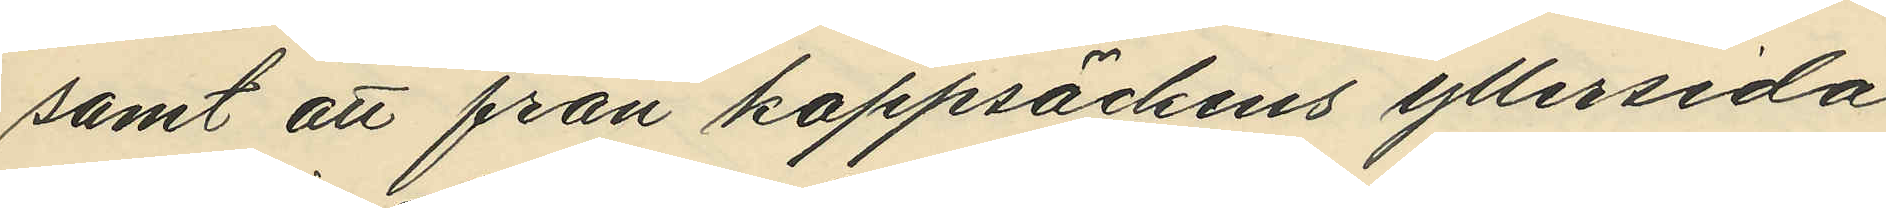samt att från kappsäckens yllersida
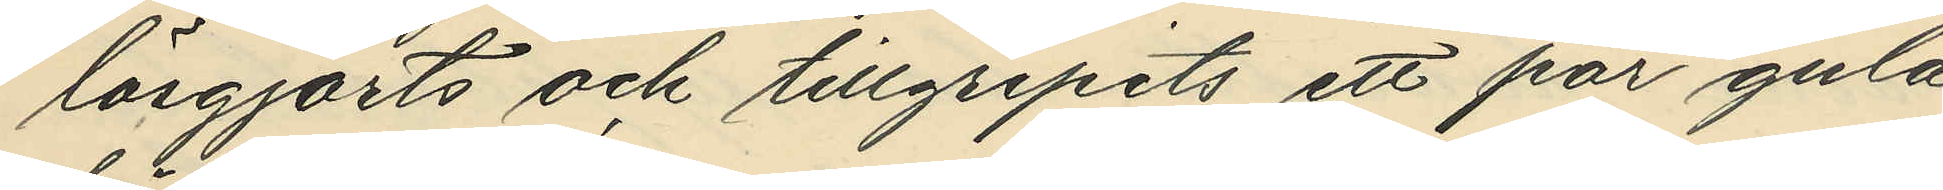lösgjorts och tillgripits ett par gula
